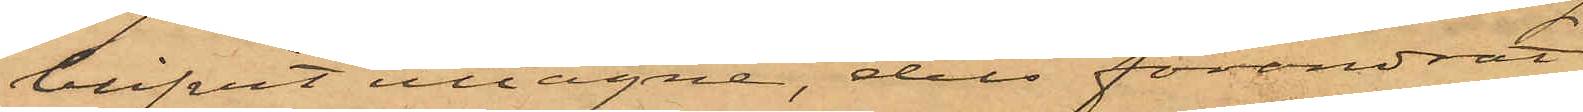blifvit uttagne, dels förändrat
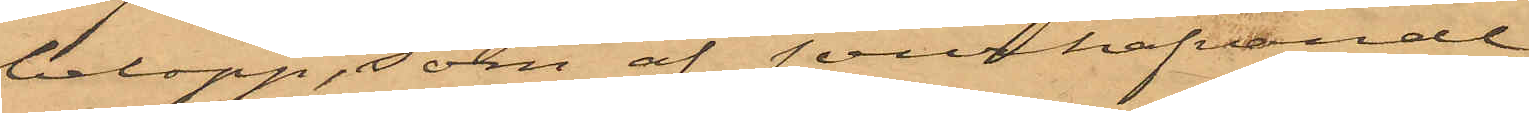belopp, som af jourhafvande
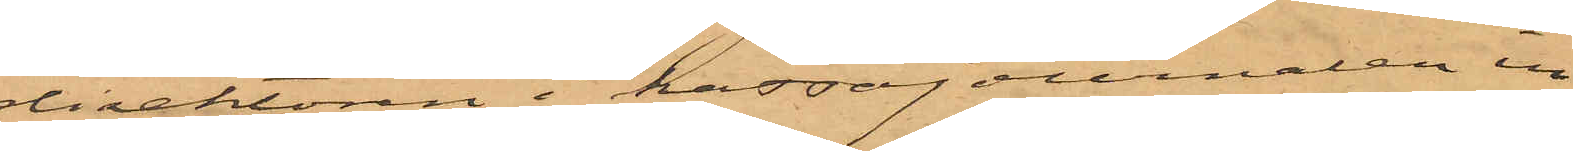direktören i kassajournalen in¬
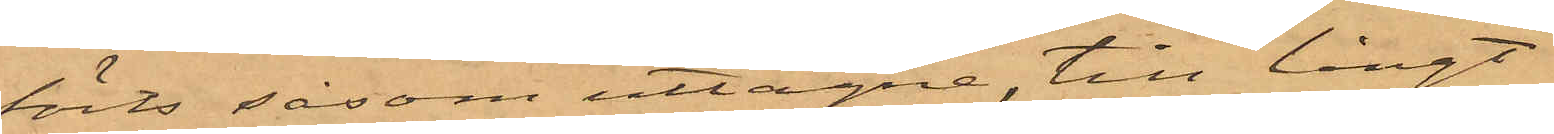förts såsom uttagne, till långt
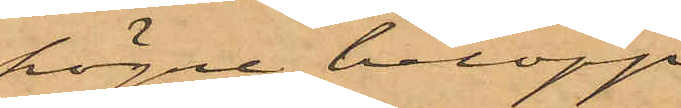högre belopp
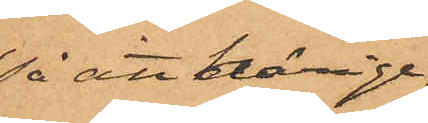så att därige¬ 
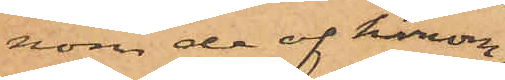nom de af honom 
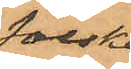falske¬
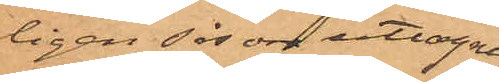ligen såsom uttagne
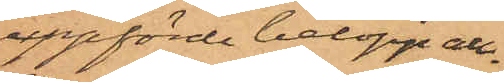uppförde belopp all¬
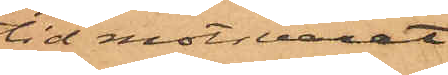tid motsvarat
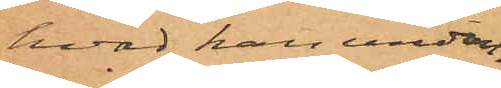hvad han undan¬
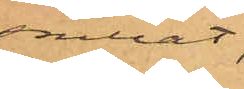snillat;
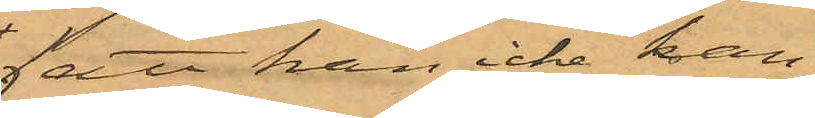att han icke kan
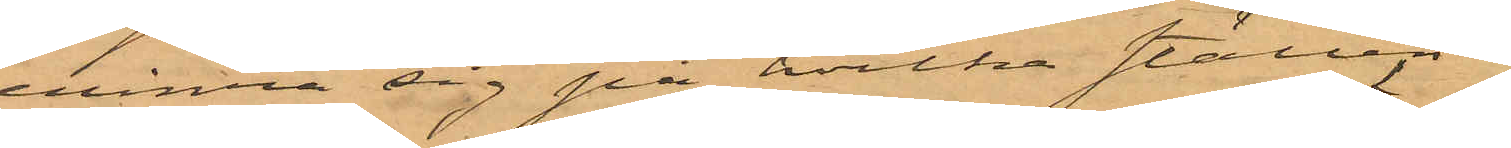minna sig på hvilka ställen i
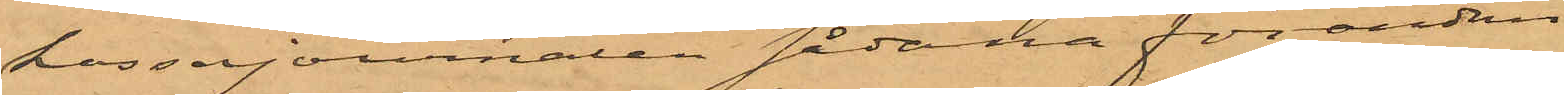kassajournalen sådana förändrin¬
